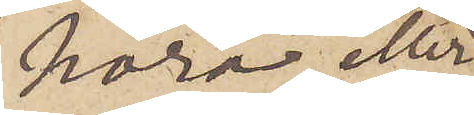höra eller
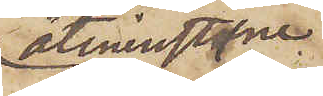åtminstone
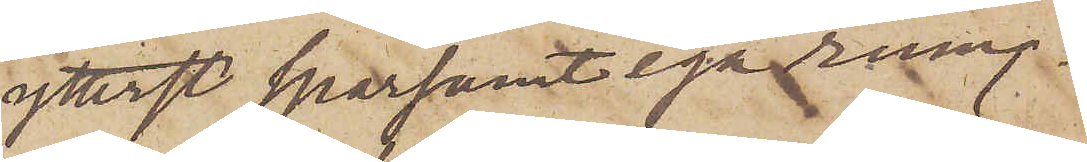ytterst sparsamt ega rum.
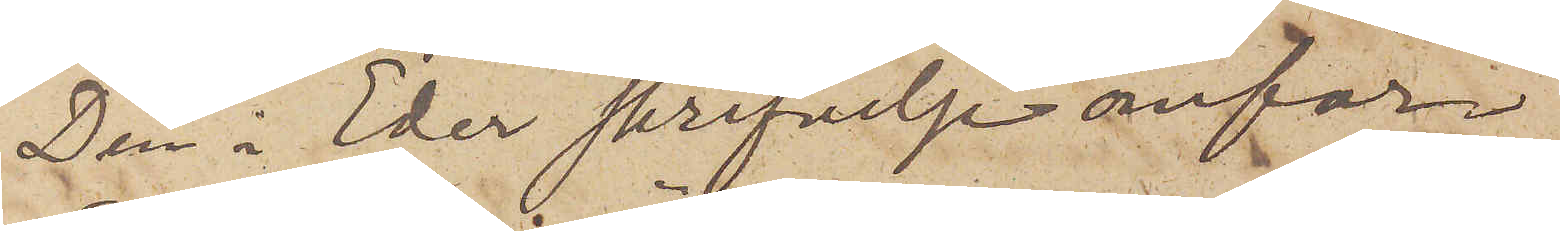Den i Eder skrifvelse omför¬
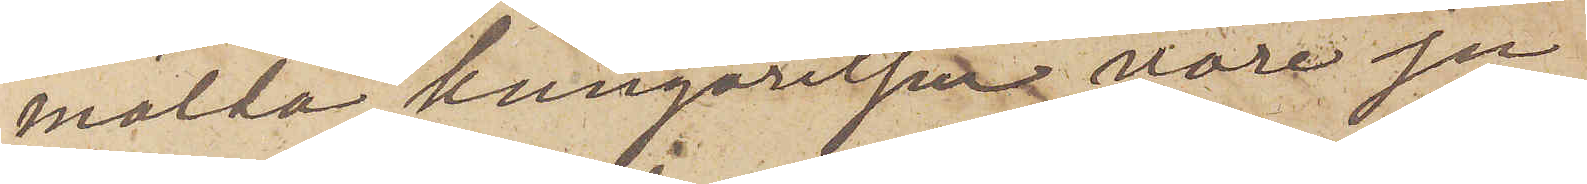mälda kungörelsen vore ju
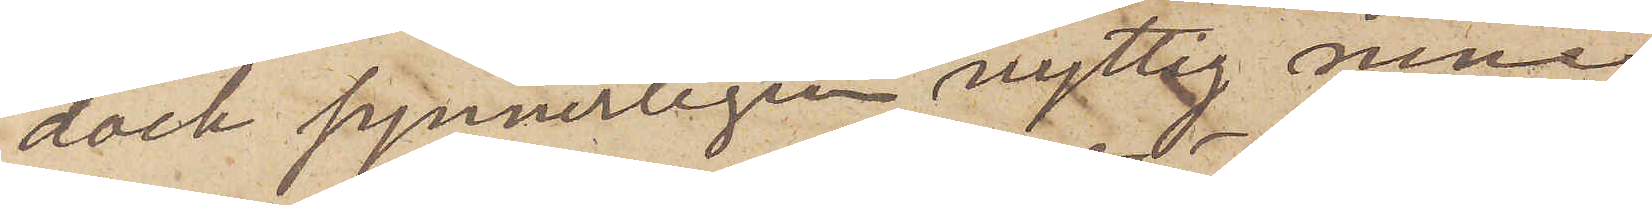dock synnerligen nyttig men
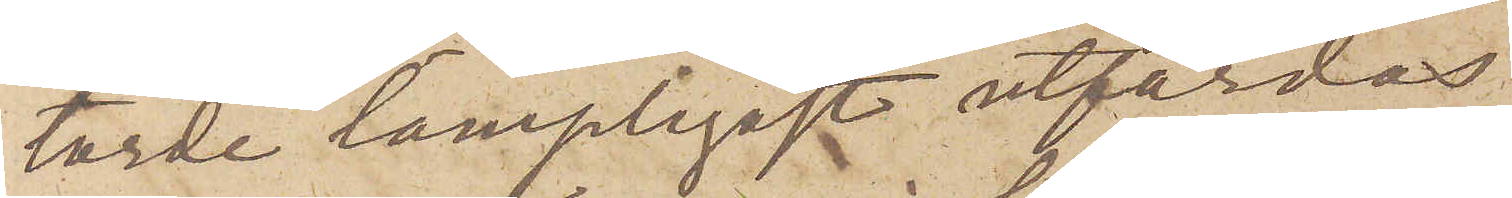torde lämpligast utfärdas
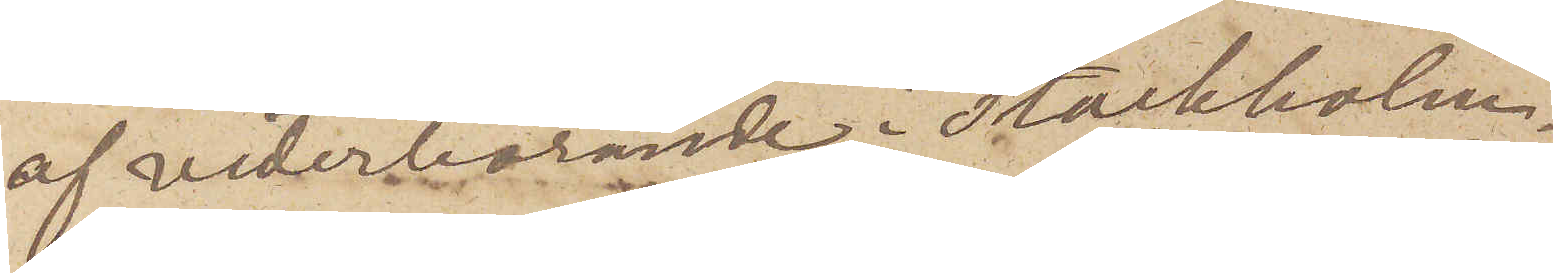af vederbörande i Stockholm.
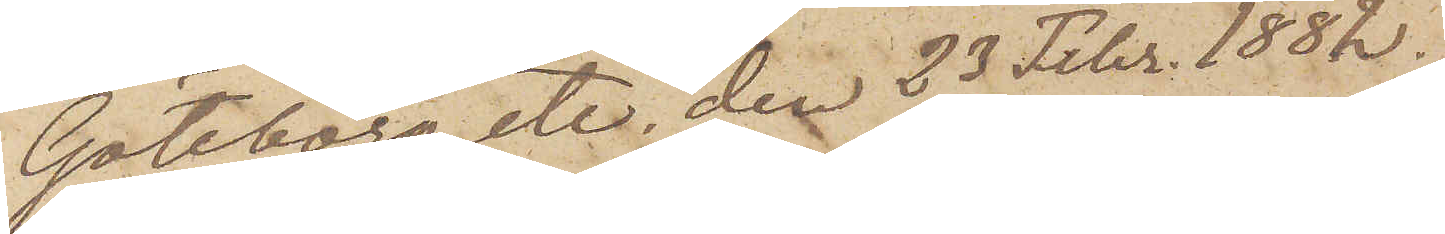Göteborg etc den 23 Febr. 1882.
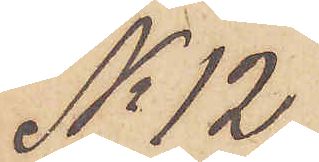No 12.
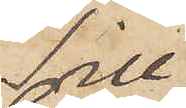Till
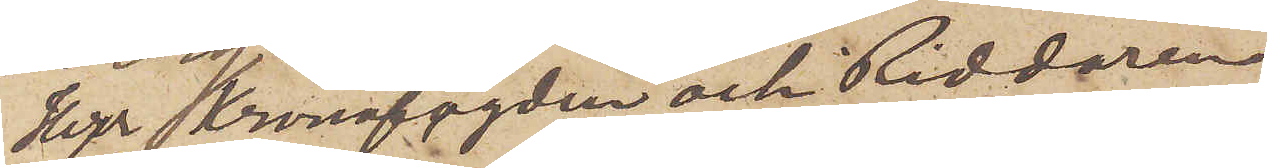Herr Kronofogden och Riddaren
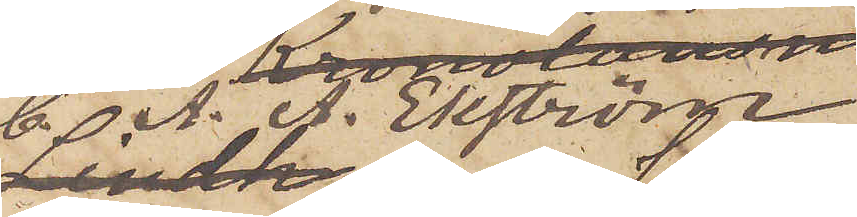C. A. A. Ekström
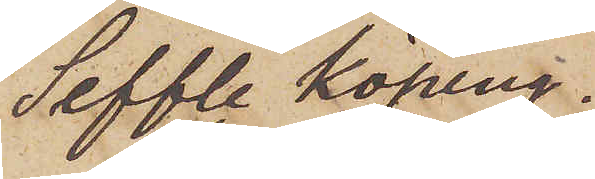Seffle Köping. 
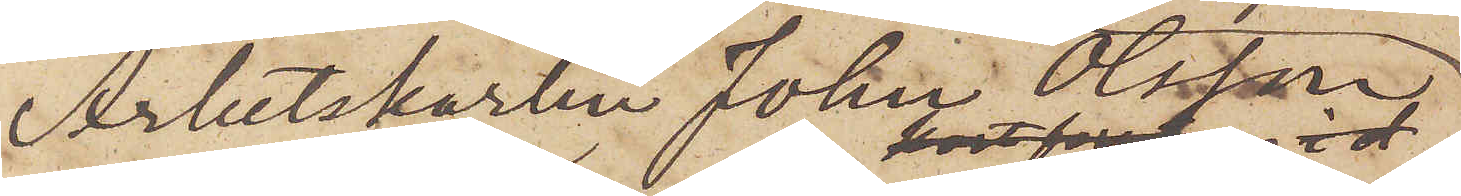Arbetskarlen Johan Olsson
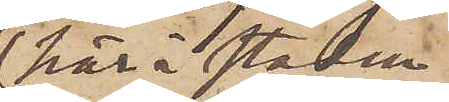här i staden
